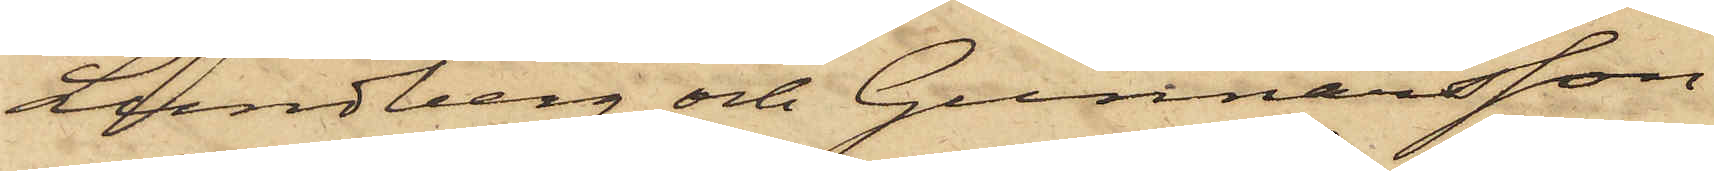Lundberg och Gunnarsson
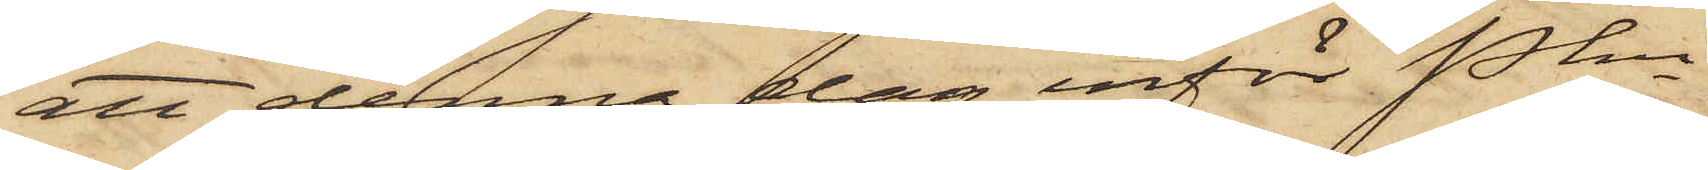att denna dag inför Pkn
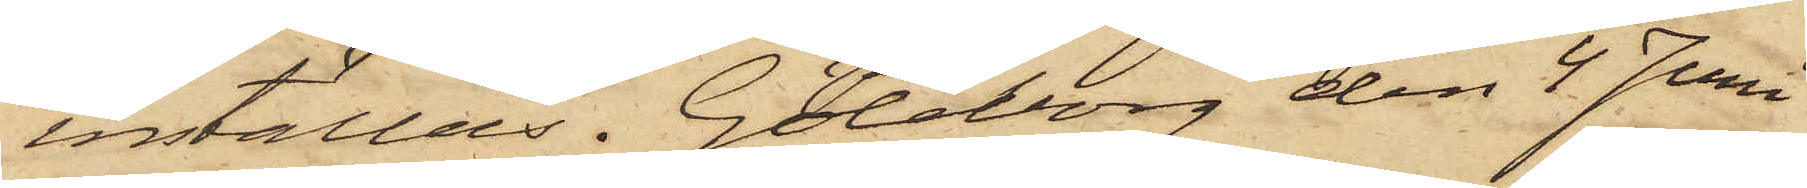inställas. Göteborg den 4 Juni
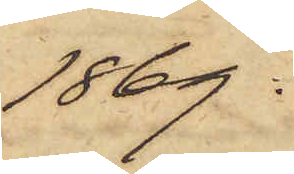1869.
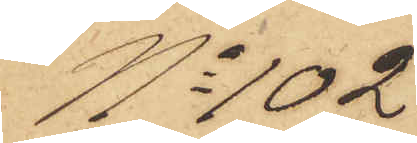No 102
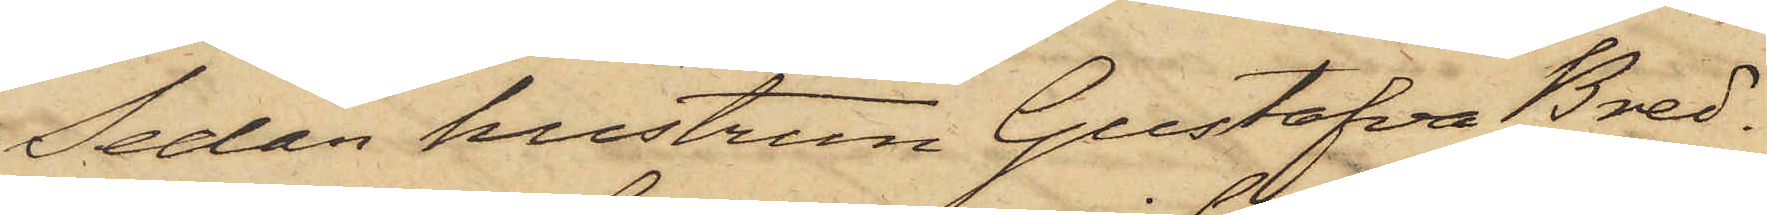Sedan hustrun Gustafva Bred¬
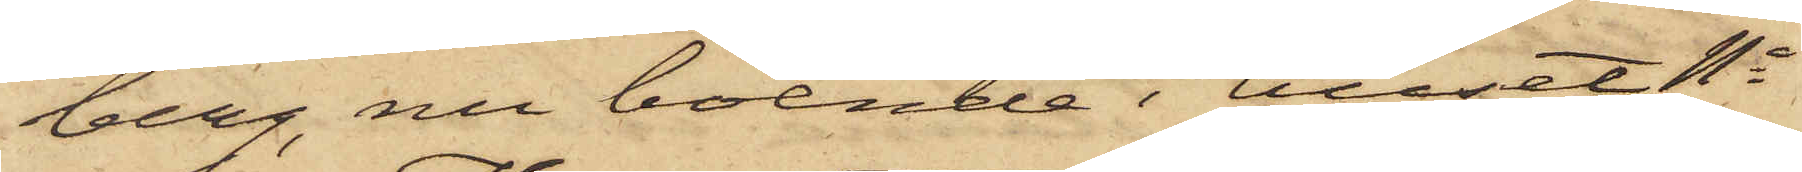berg, nu boende i huset No
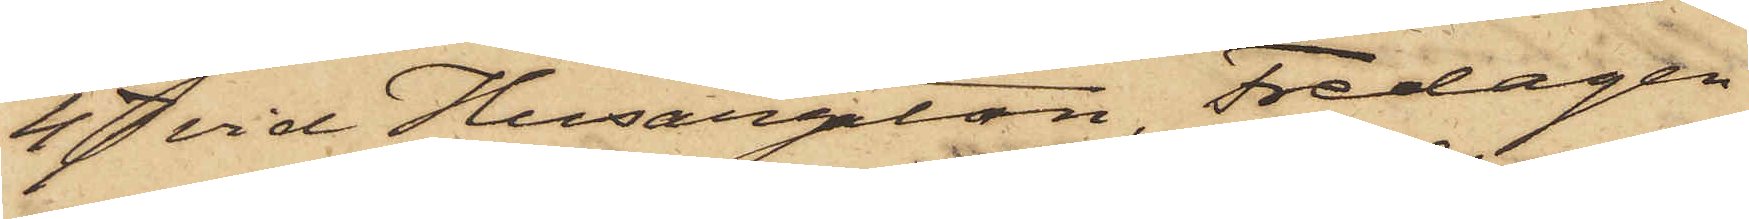47 vid Husargatan, Fredagen
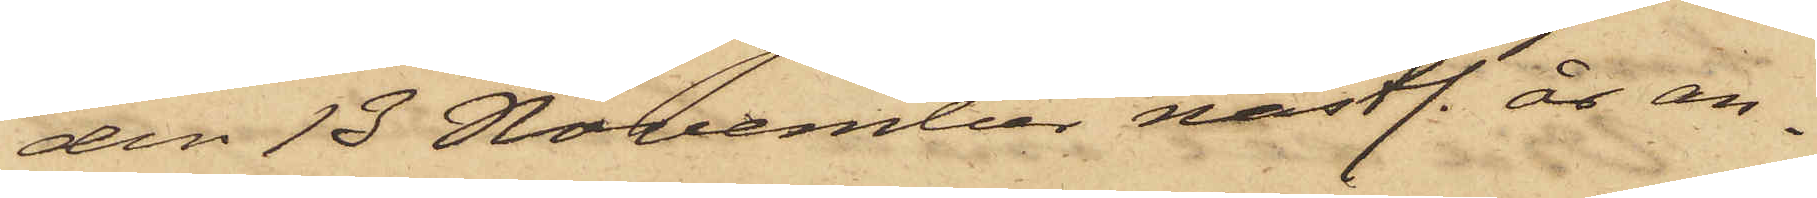den 13 November nästl. år an¬
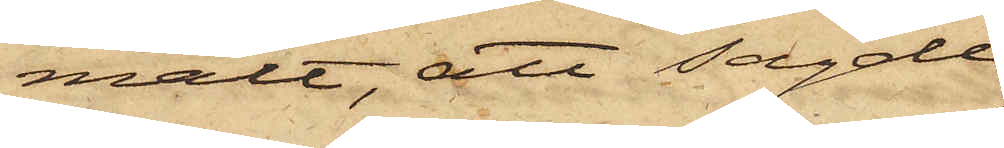mält, att sagde
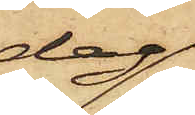dag
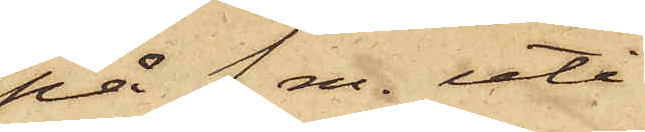på  f. m. uti
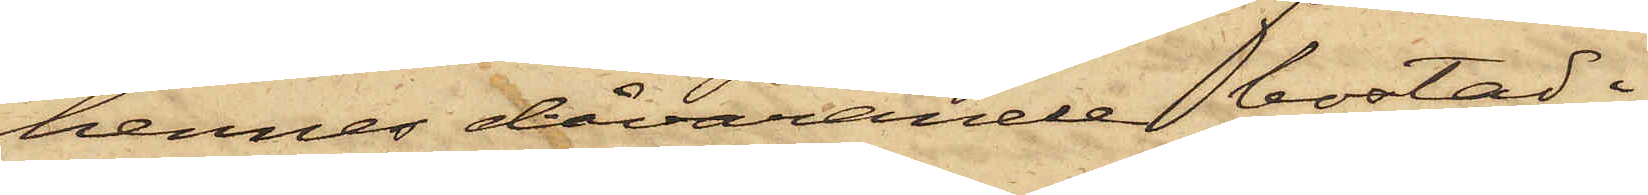hennes dåvarande bostad i
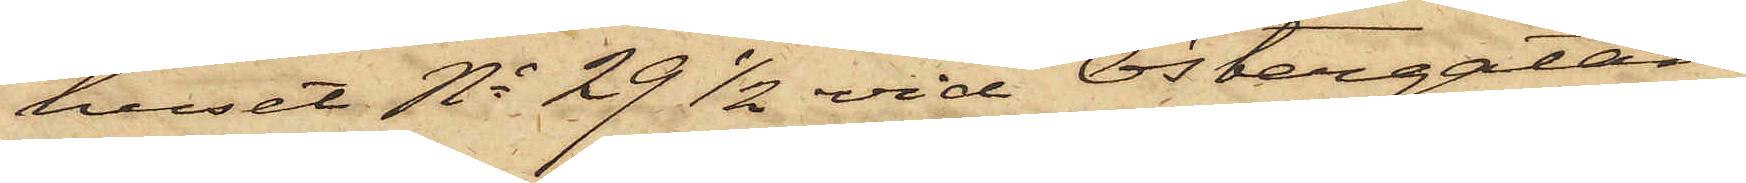huset No 29 1/2 vid Östergatan
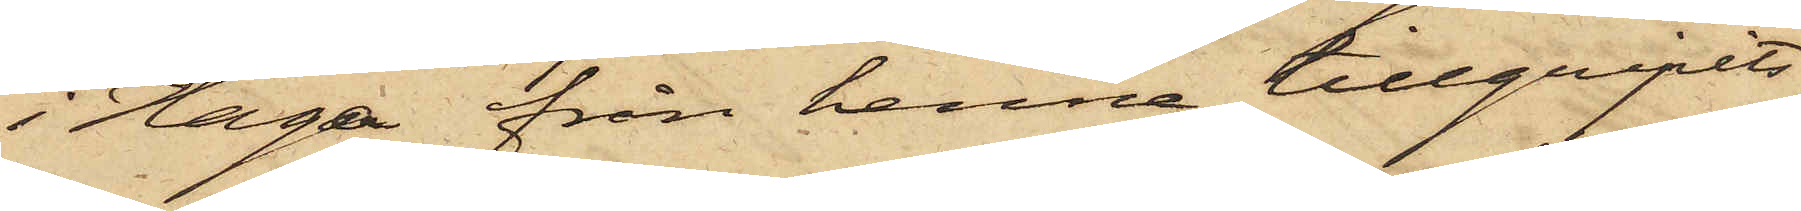i Haga från henne tillgripits
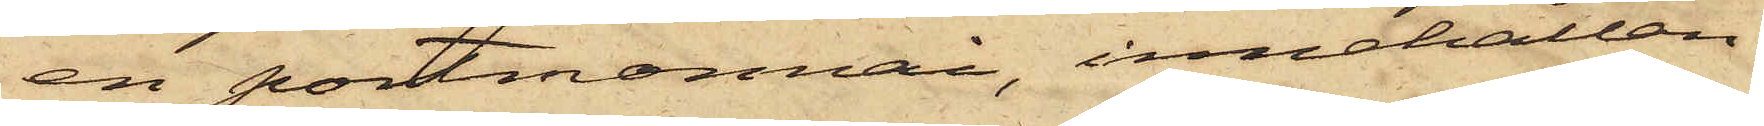en portmonnai, innehållan¬
